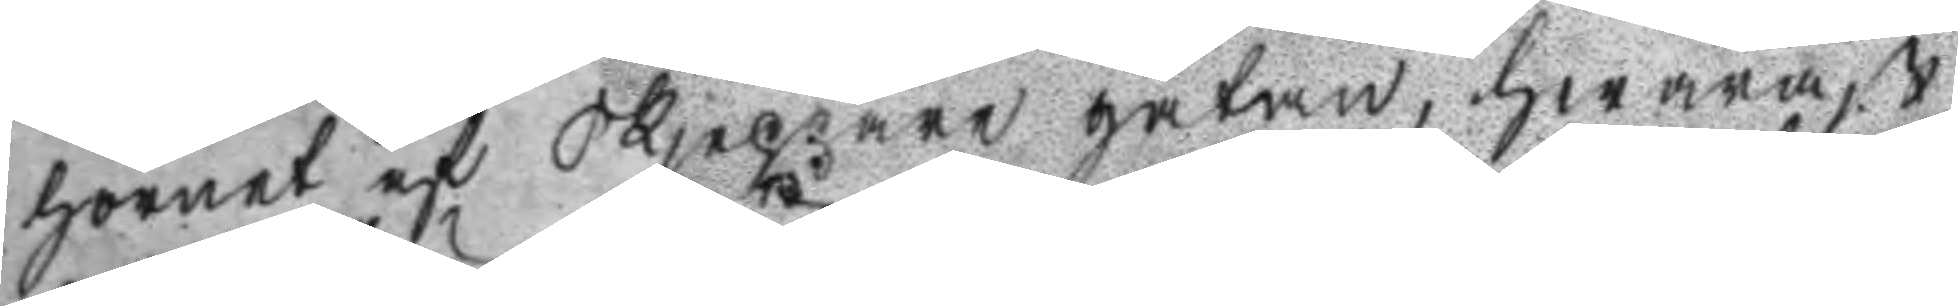hörnet af Skjeppare gatan, hwaräst
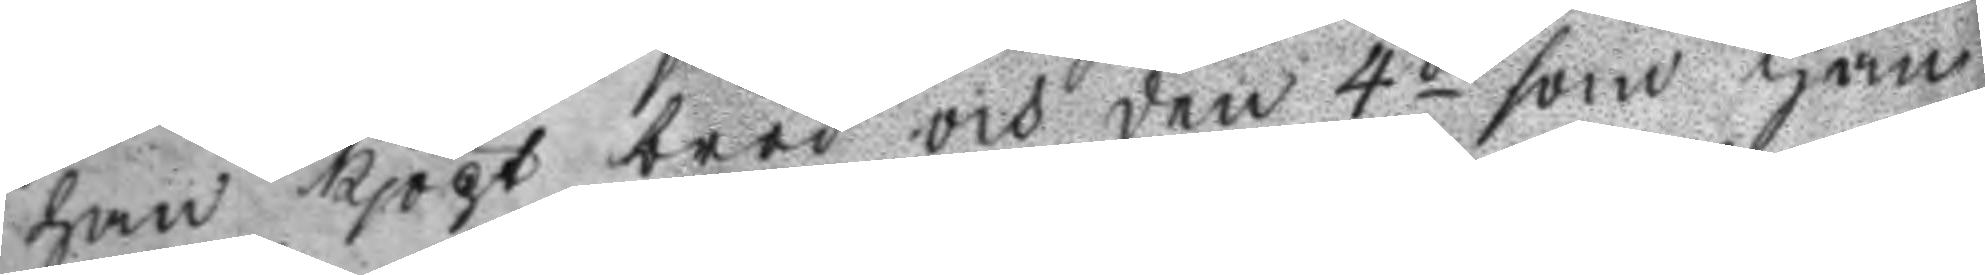han kjöpt bröd och den 4de som han
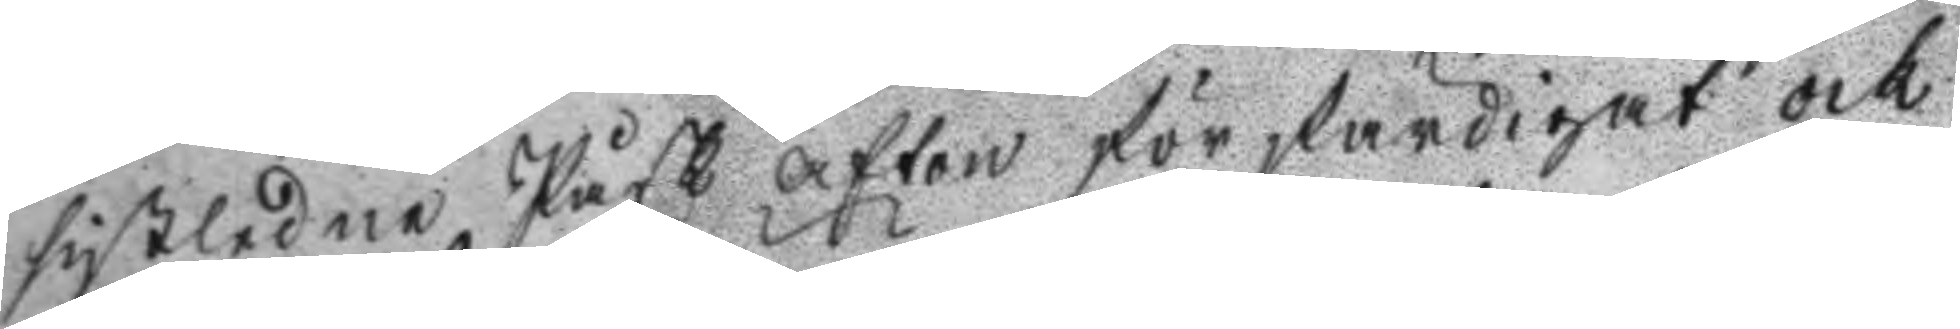sistledne Påsk afton förfärdigat ock
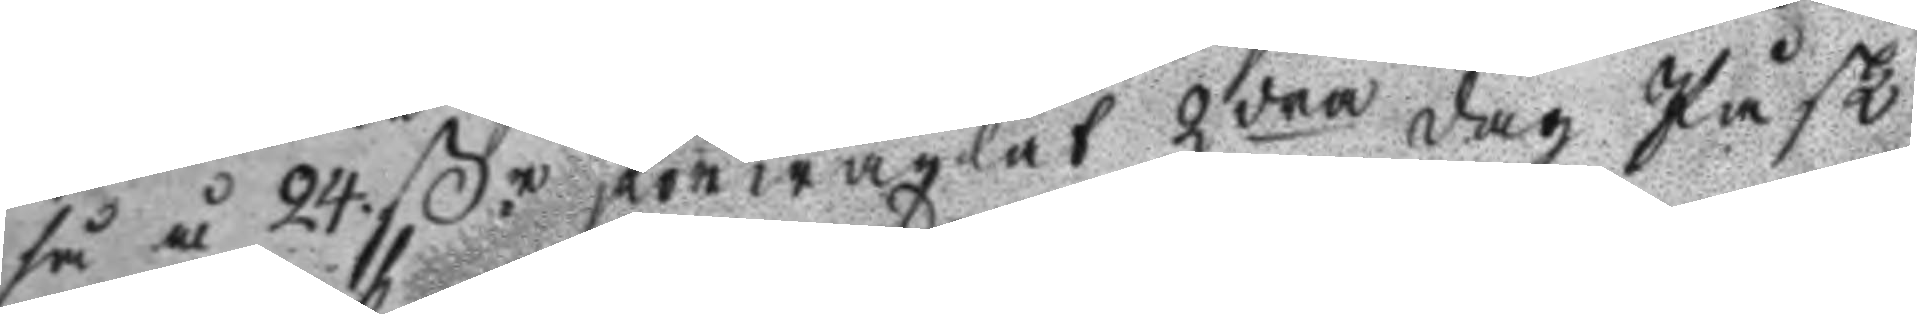så å 24 ßr förwäxlat 2dra dag Påsk
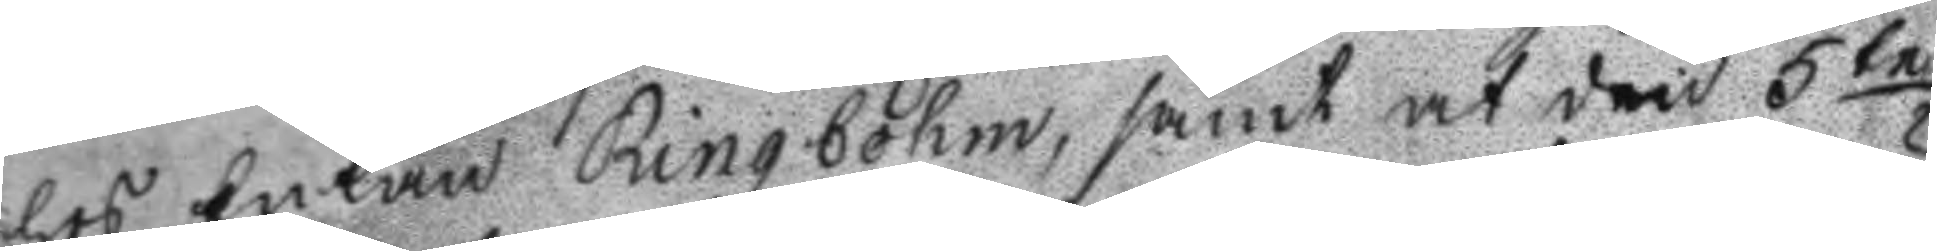hos Enkan Ringbohm, samt at den 5te
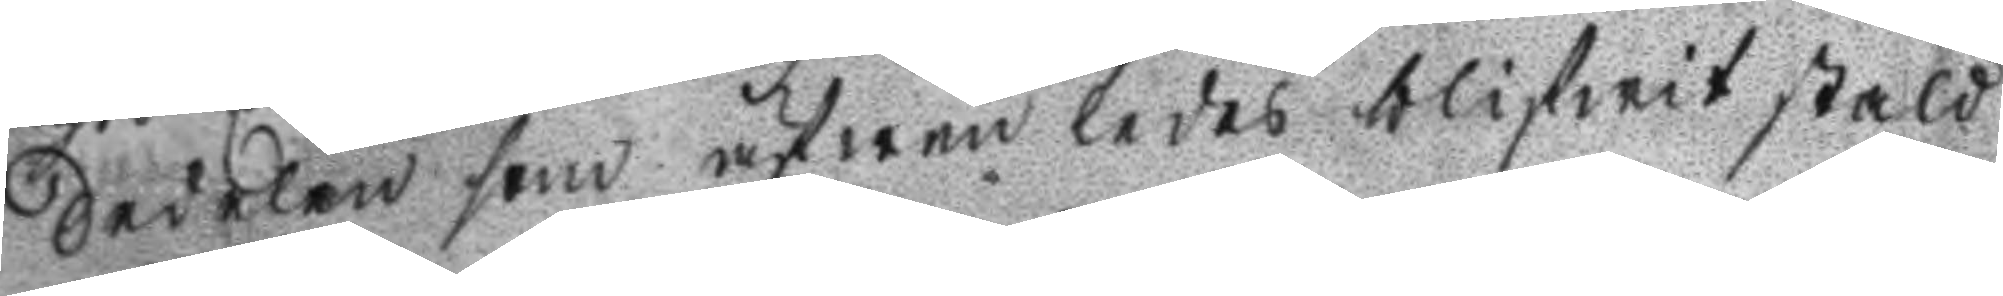Sedelen som äfwen ledes blifwit stäld
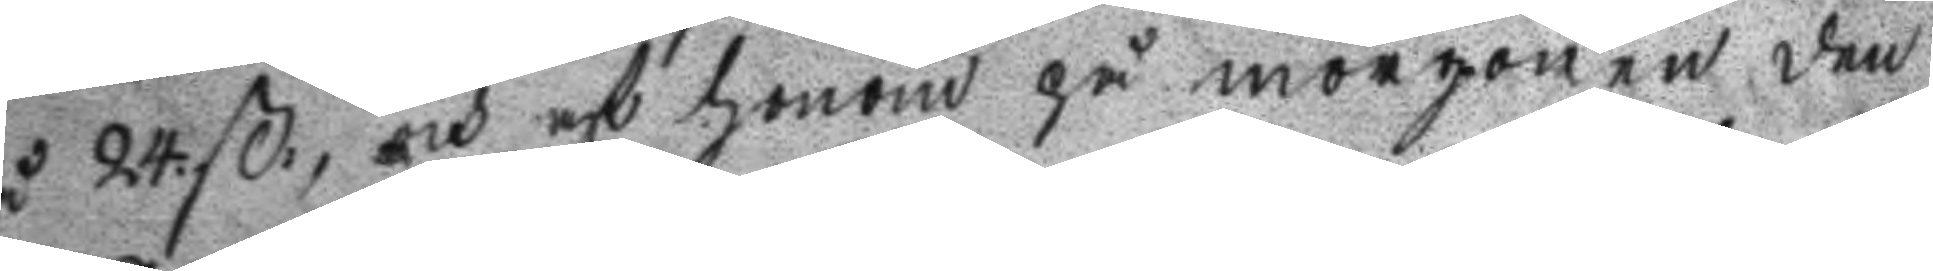på 24. ßr, och af honom på morgonen den
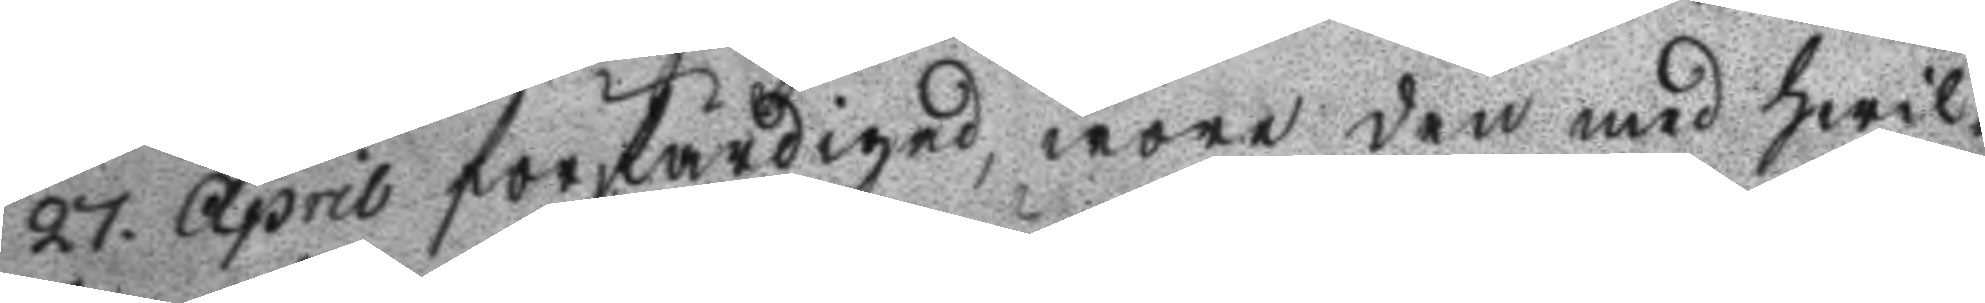27. April förfärdigad, wore den med hwil¬
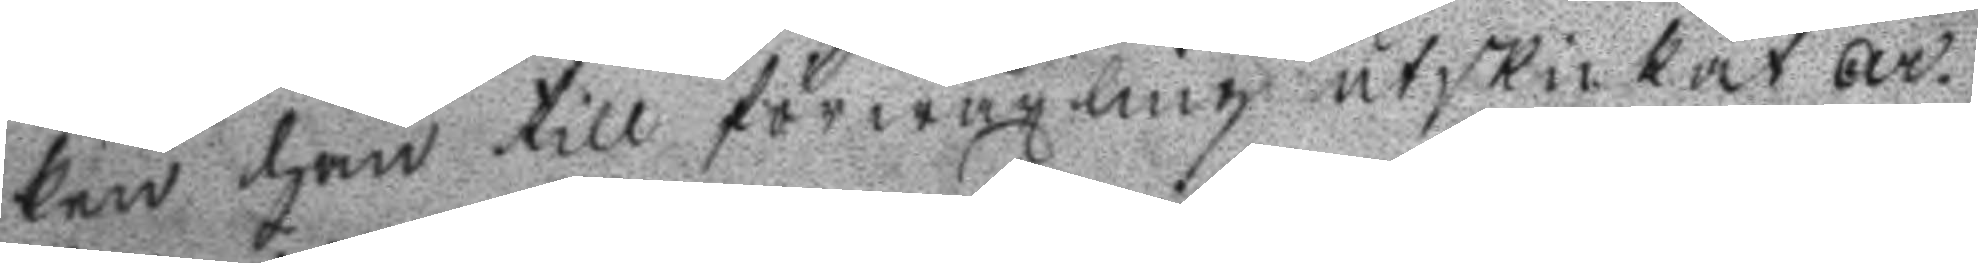ken han till förwäxling utskickat ar¬
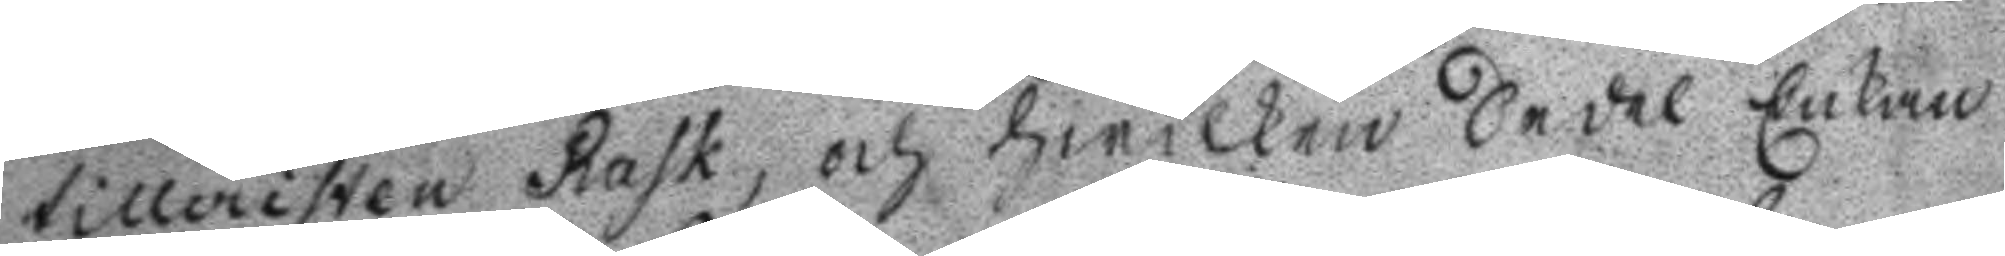tilleristen Rask, och hwilken Sedel Enkan
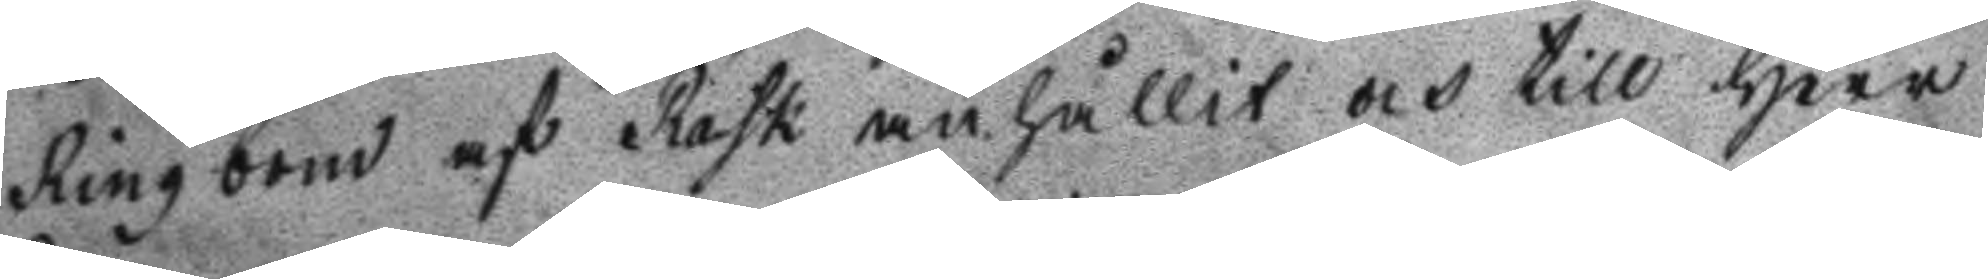Ringbom af rask anhållit och till Herr
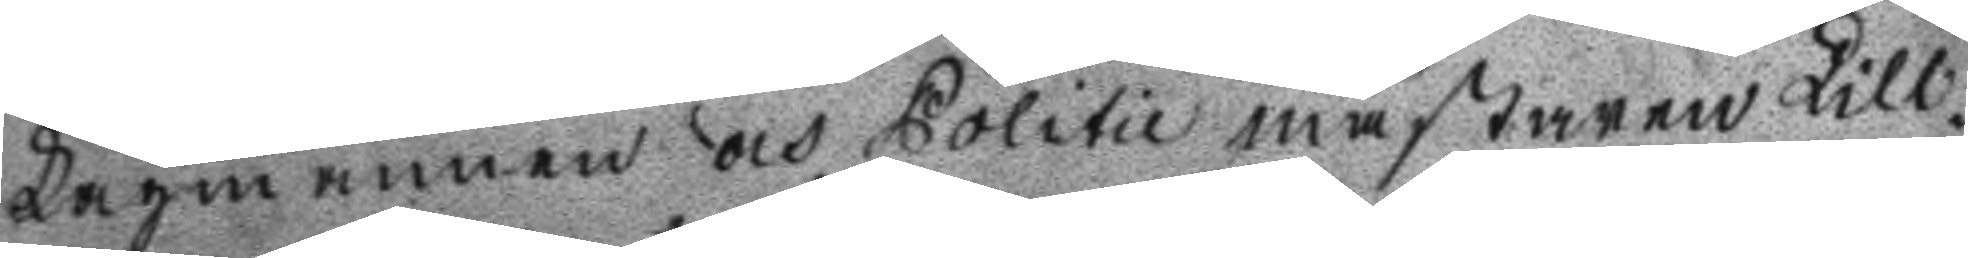Lagmannen och Politie mästaren Lill¬
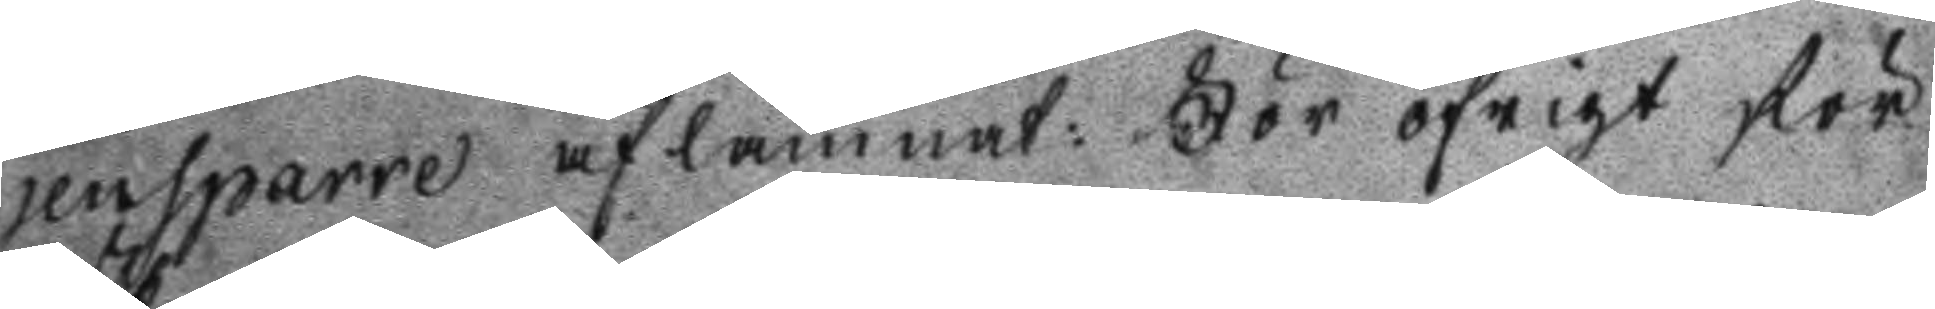jensparre aflämnat: För öfrigt för
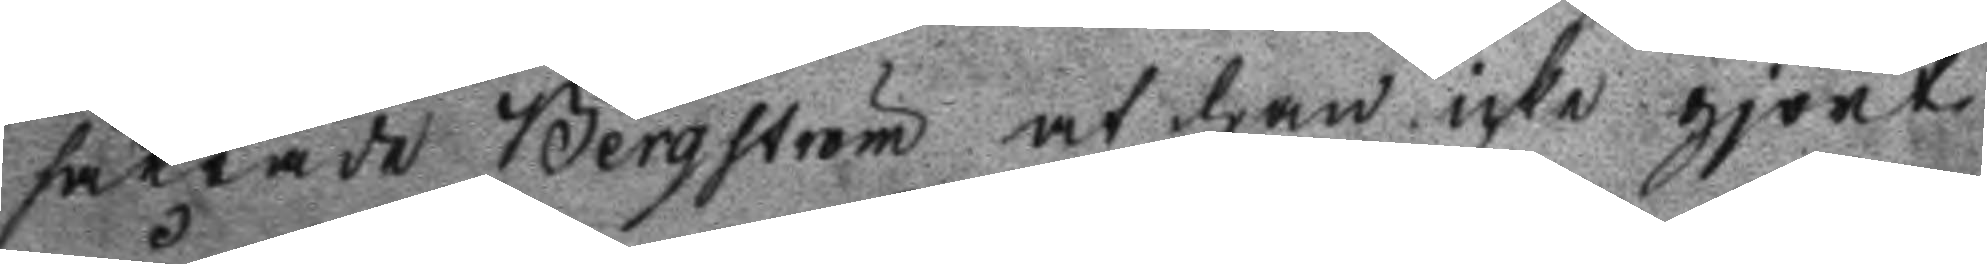säkrade Bergström at han icke gjort
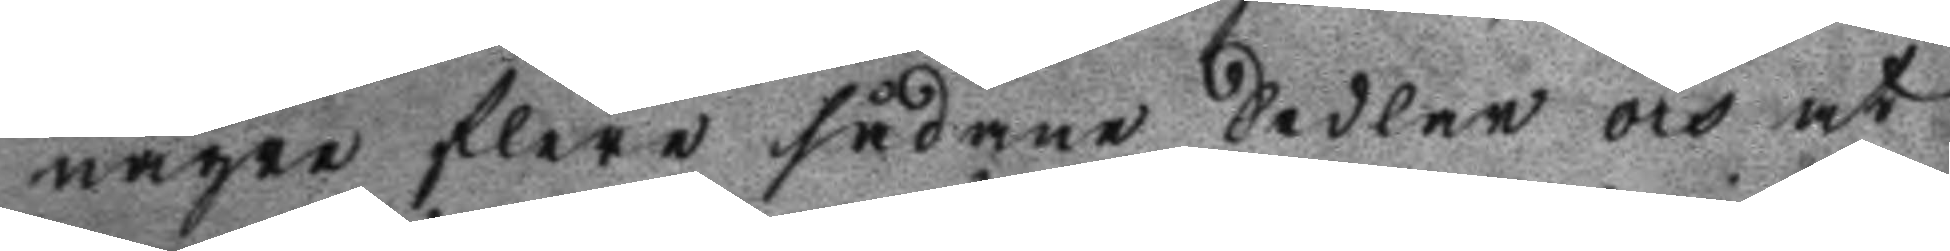någre flere sådane Sedlar och at
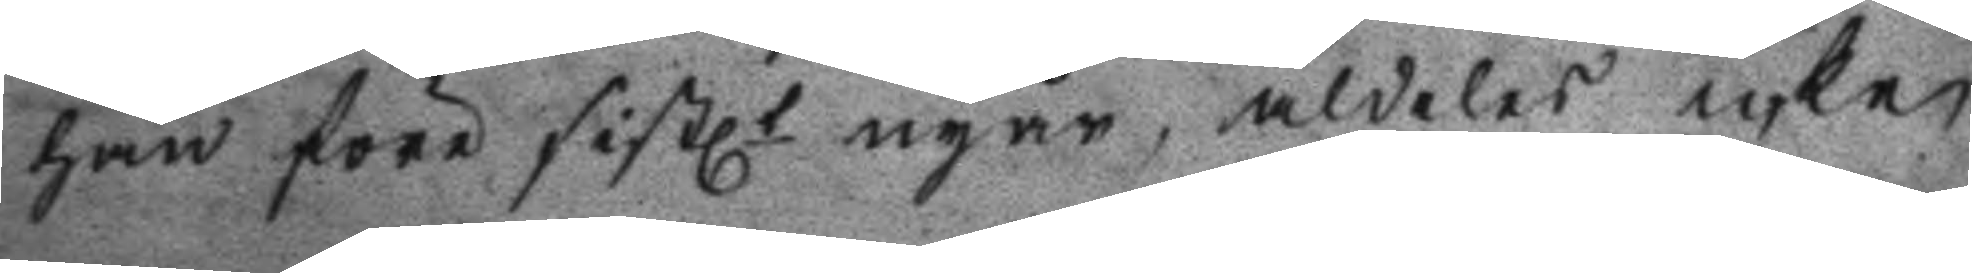han före sistl. nyår, aldeles icke
